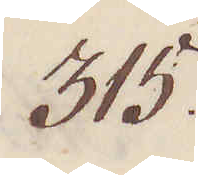315.
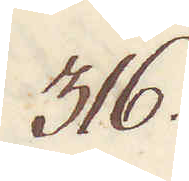316.
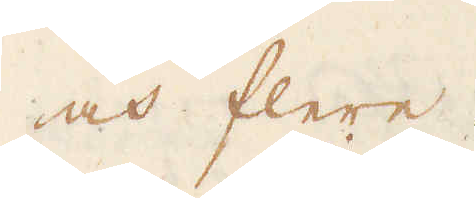och flere.
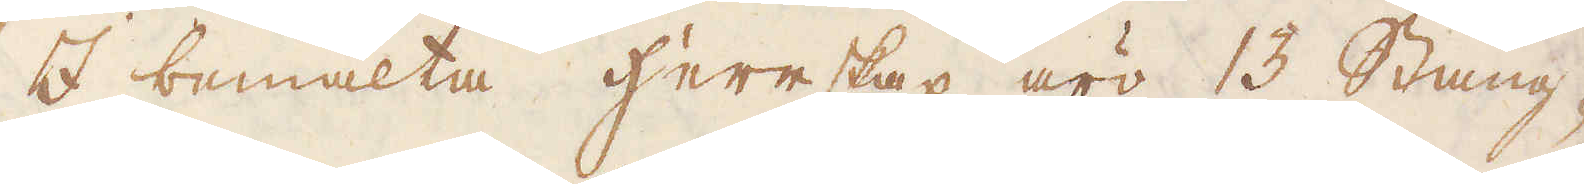I bemälta herrskap äro 13 Stång-
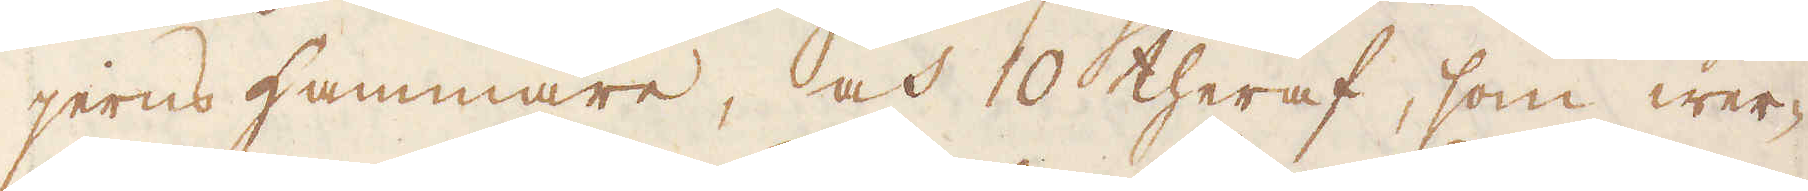jerns Hammare, och 10 theraf, som wer-
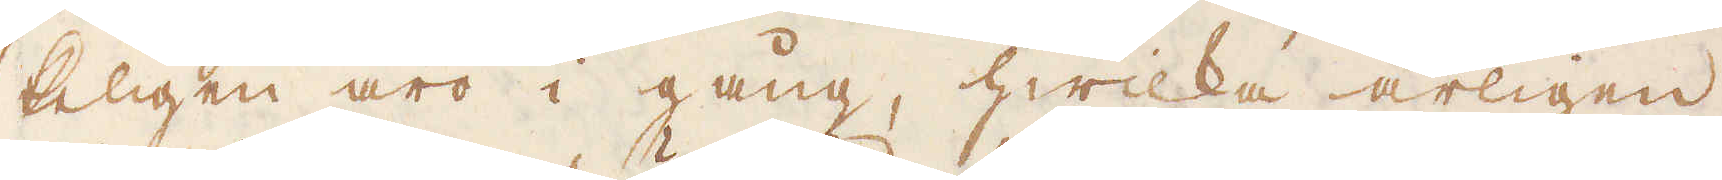keligen äro i gång, hwilka årligen
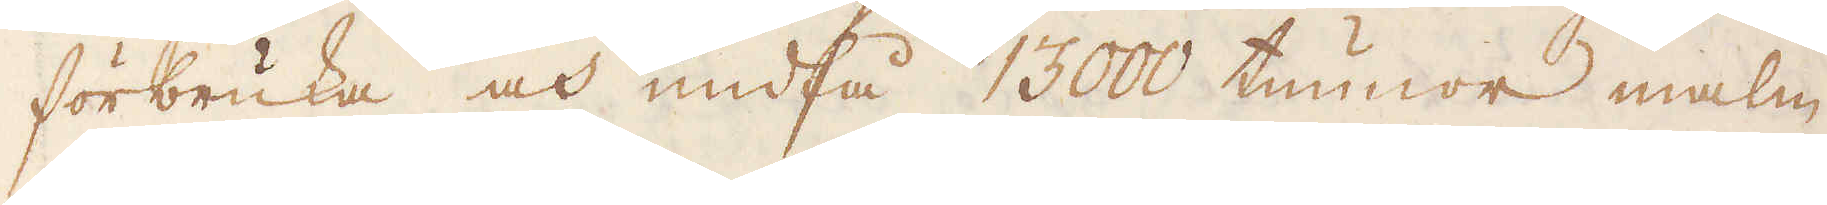förbruka och undfå 13000 tunnor malm
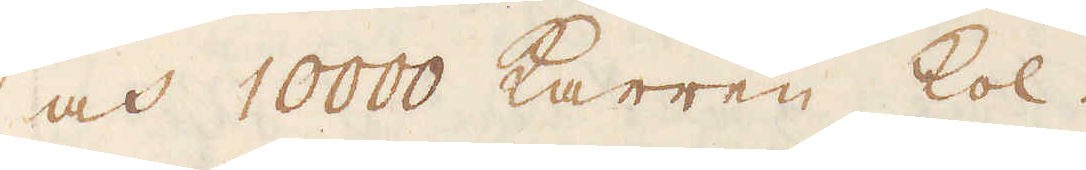och 10000 Karren kol.
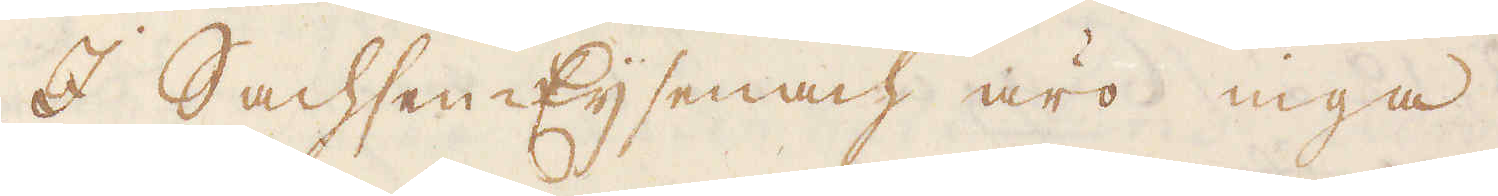I Sachsen-Eijsenach äro inga
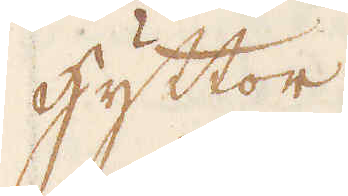hyttor
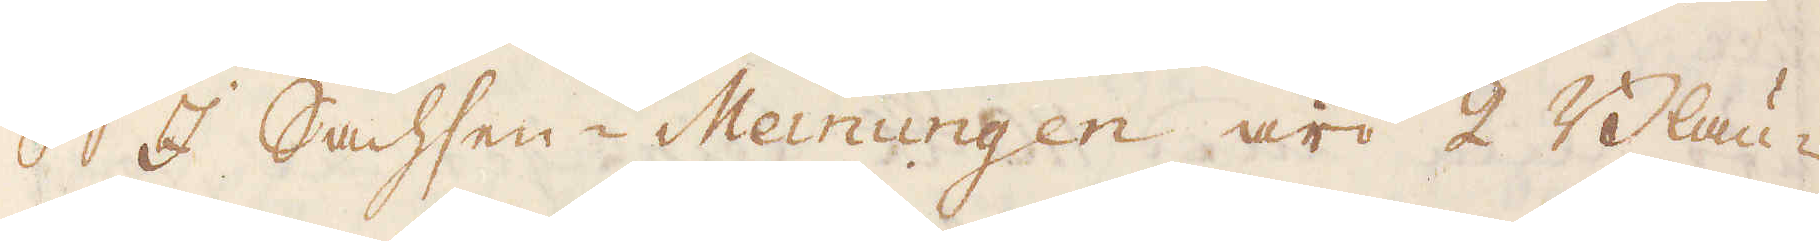I Sachsen-Meinungen äro 2 Blau-
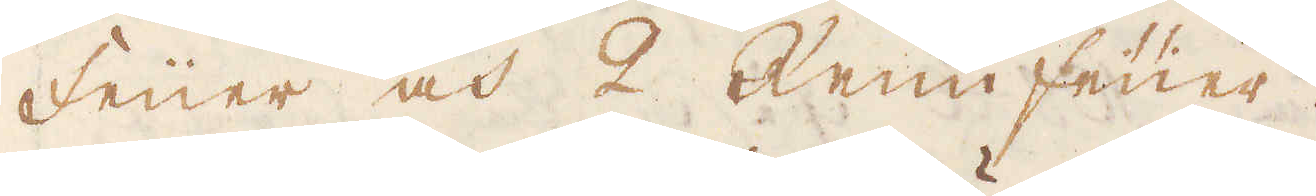Früer och 2 Rein feüer.
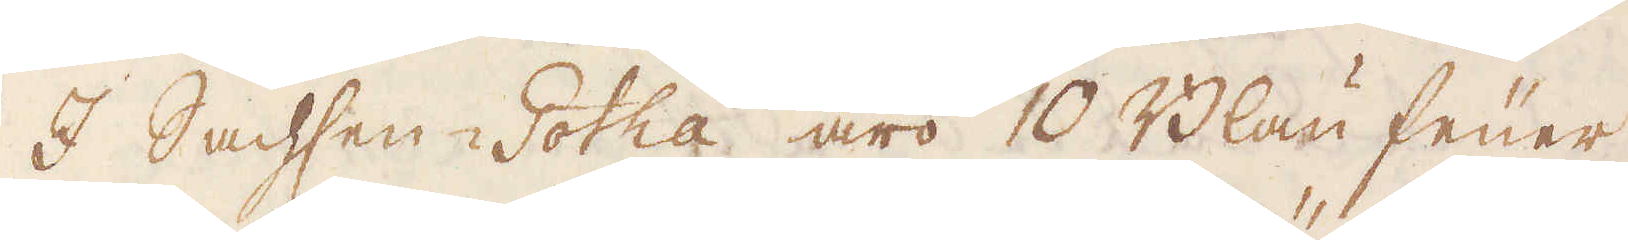I Sachsen-Gotha äro 10 Blau feüer
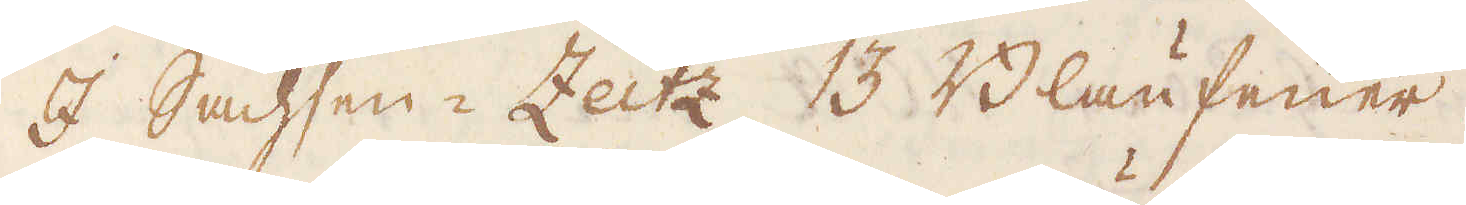I Sachsen-Zeitz 13 Blau feüer.
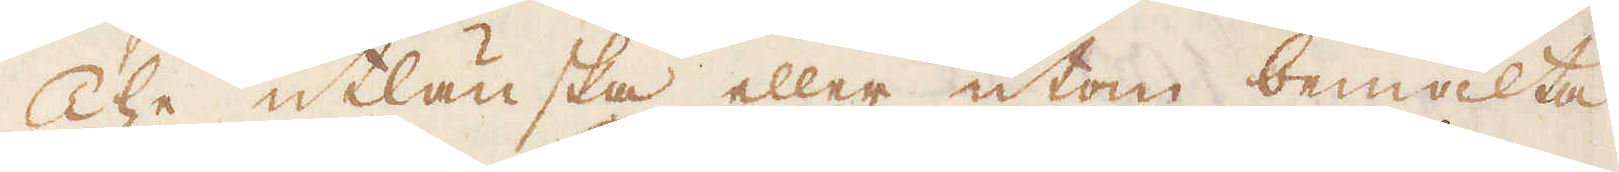The utlänska eller utom bemälta
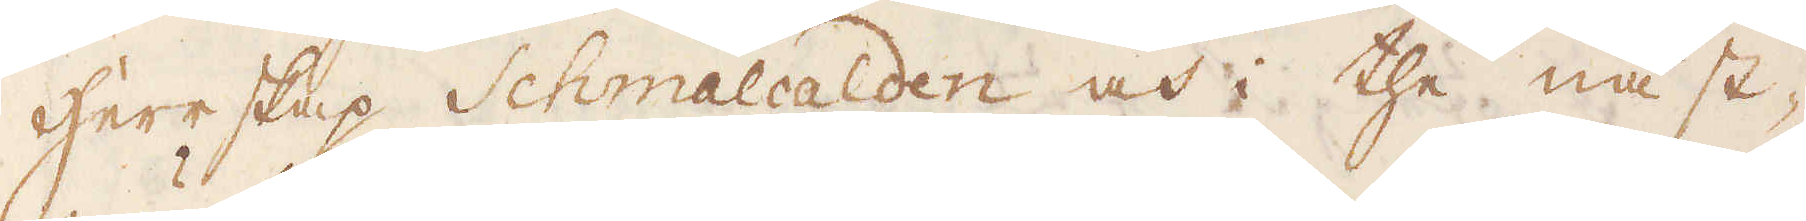Herrskap Schmalcalden och i the näst-
